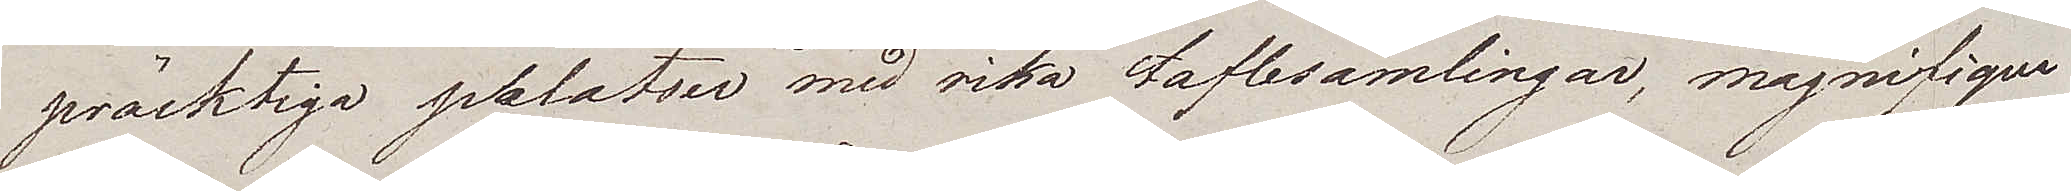präcktiga palatser med rika taflesamlingar, magnifique
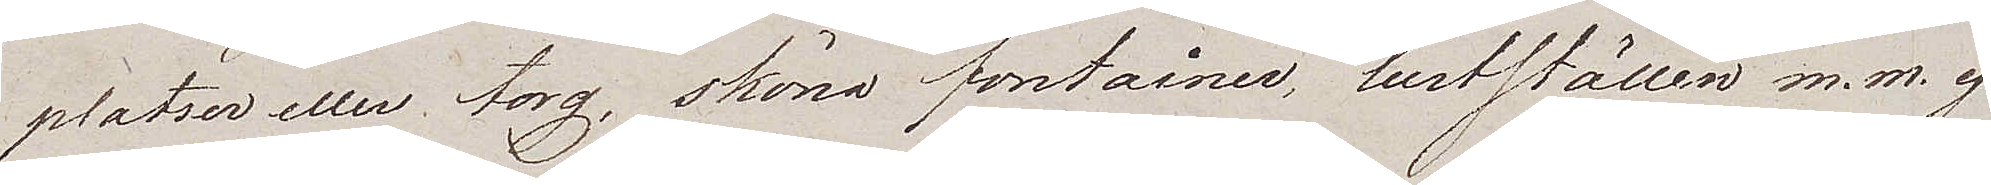platser eller torg, sköna fontainer, lustställen m.m. ej
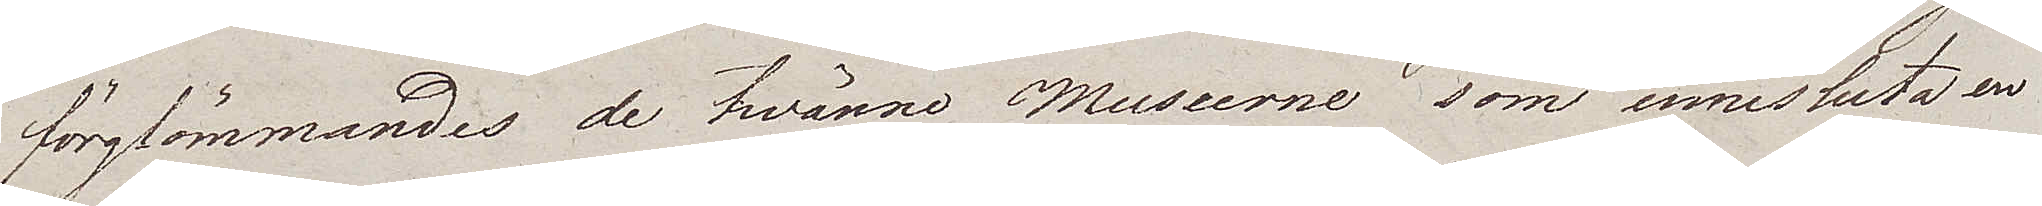förglömmandes de twänne Museerne som innesluta en
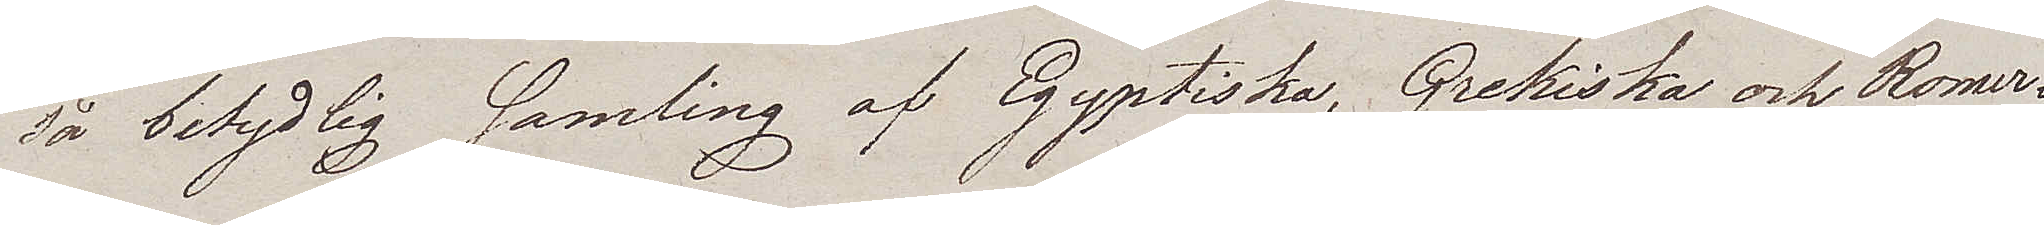så betydlig samling af Egyptiska, Grekiska och Romer¬
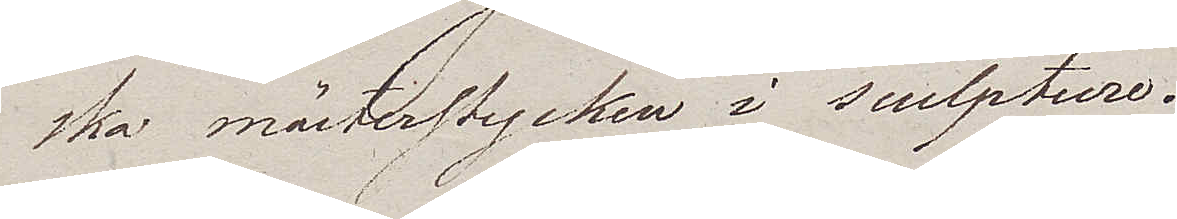ska mästerstycken i sculpture.
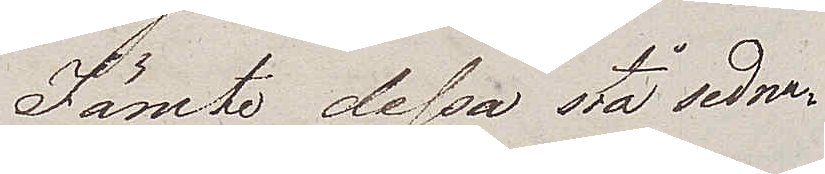Jämte dessa stå sedna¬
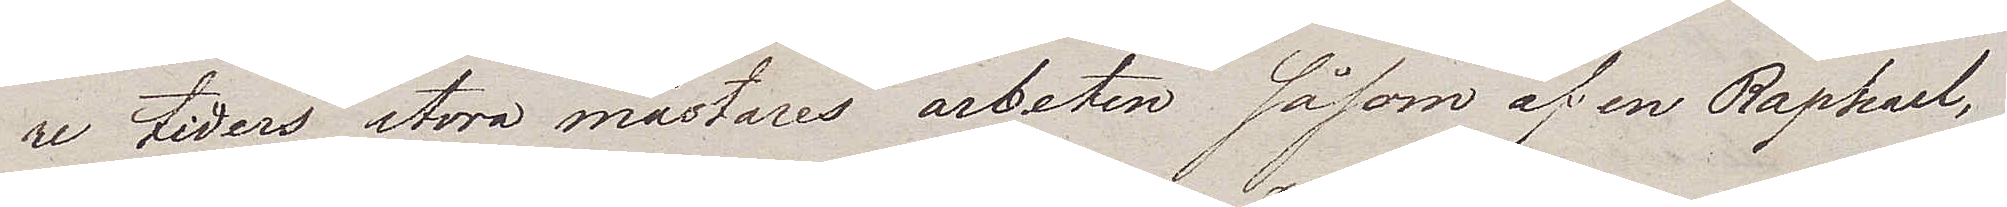re tiders stora mästares arbeten såsom af en Raphael,
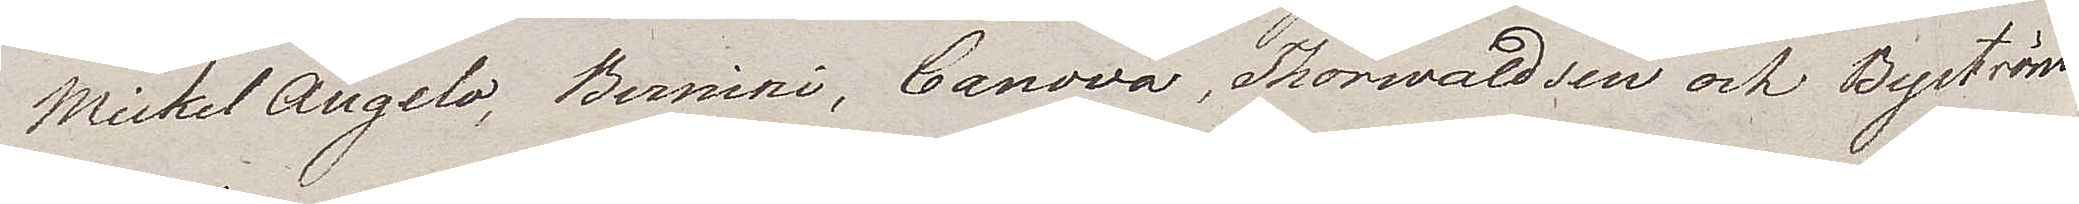Mickel Angelo, Bernini, Canova, Thorwaldsen och Byström
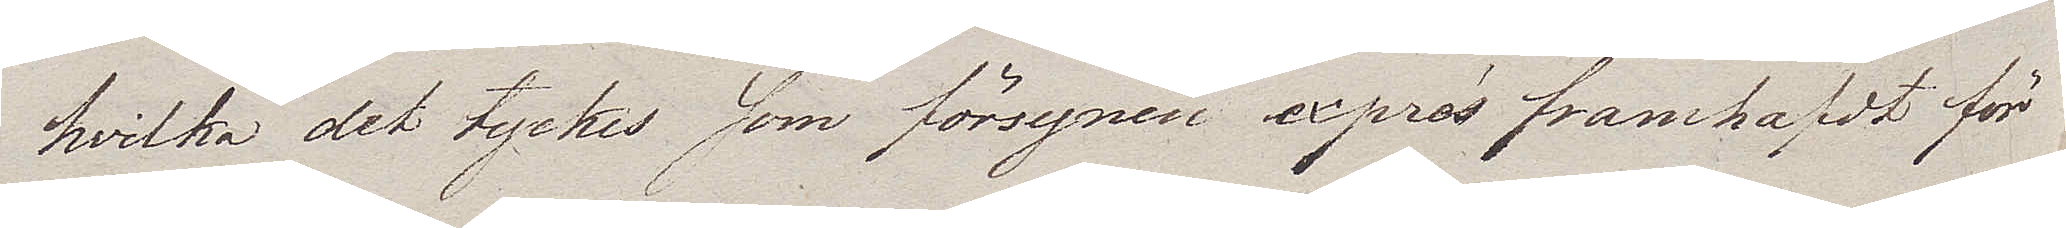hvilka det tyckes som försynen exprés framhafdt för
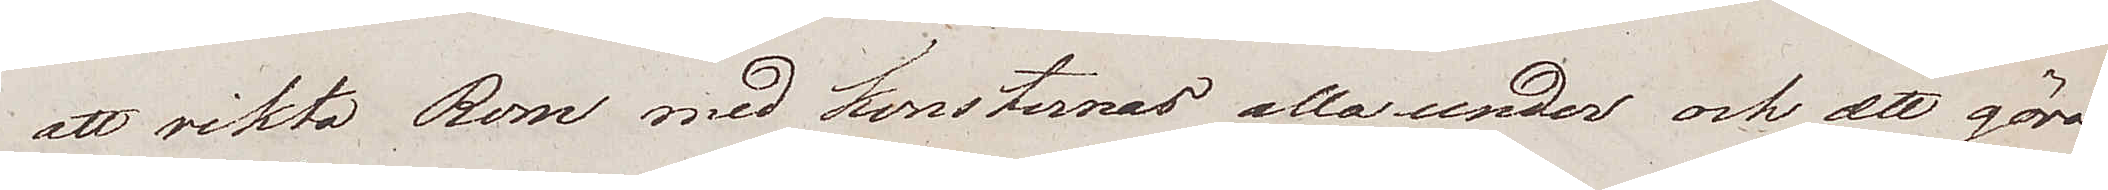att sikta Rom med konsternas alla under och att göra
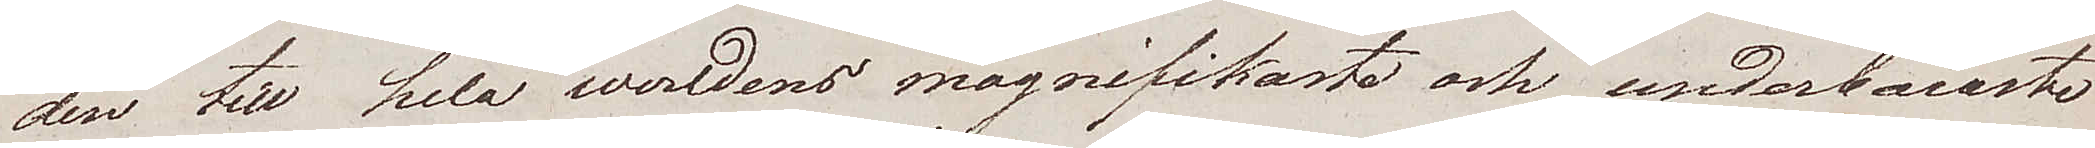den till hela werldens magnifikaste och underbaraste
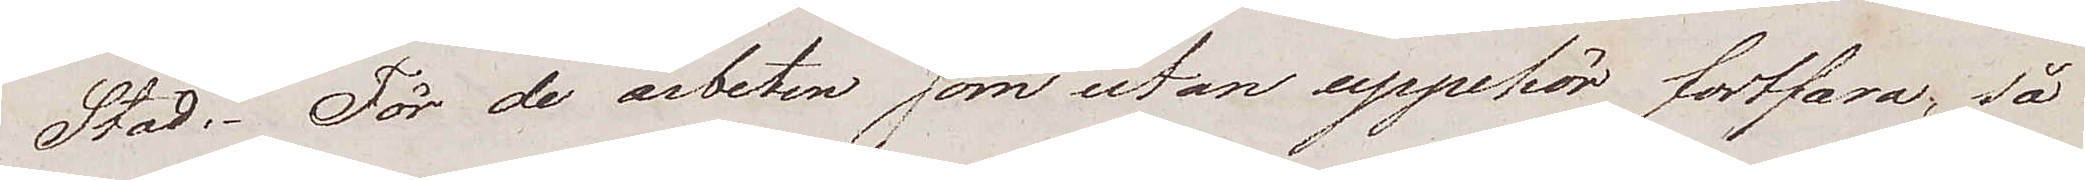Stad. För de arbeten som utan uppehör fortfara; så
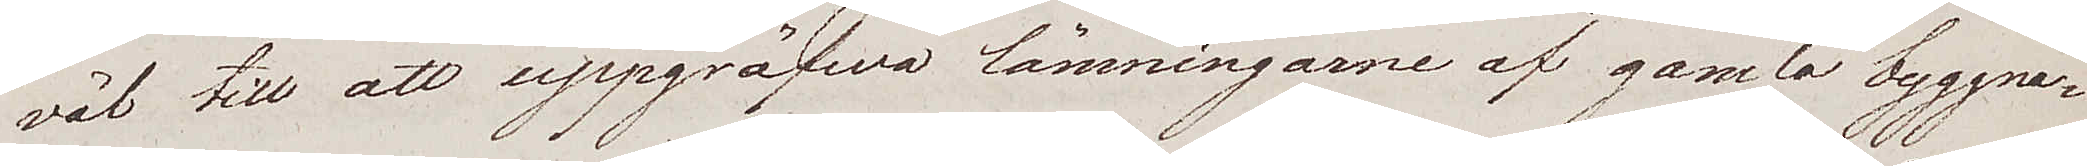väl till att uppgräfwa lämningarne af gamla byggna¬
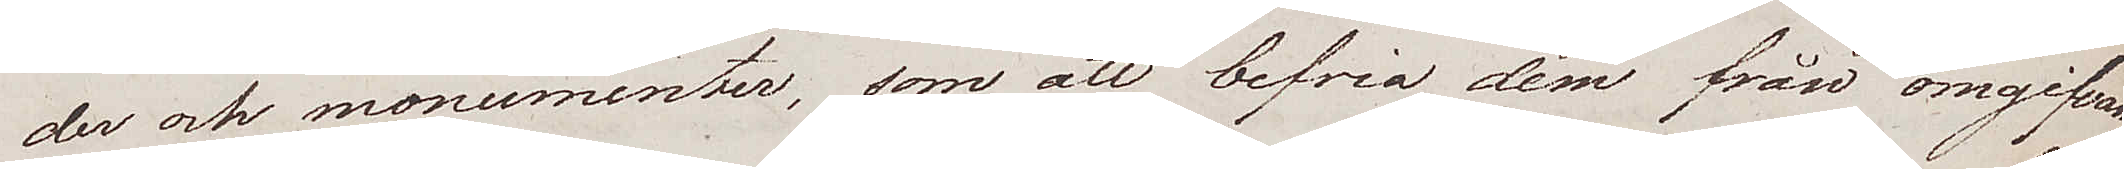der och monumenter, som att befria dem från omgifvan¬
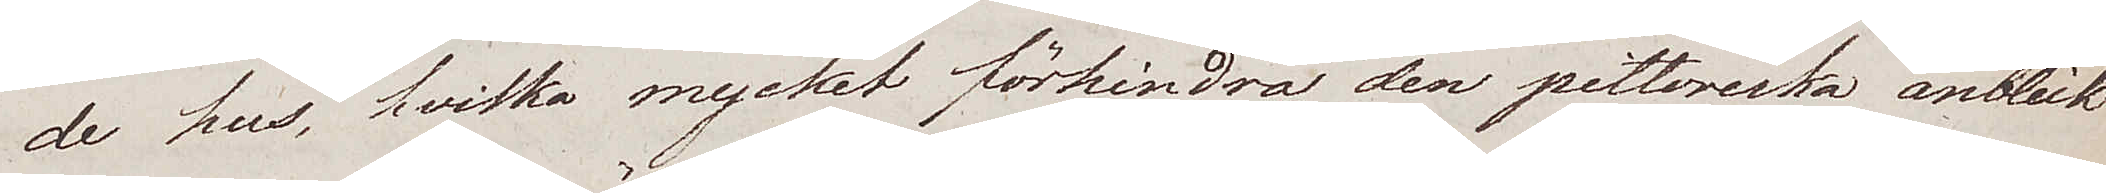de hus, hvilka mycket förhindra den pittoriska anblick
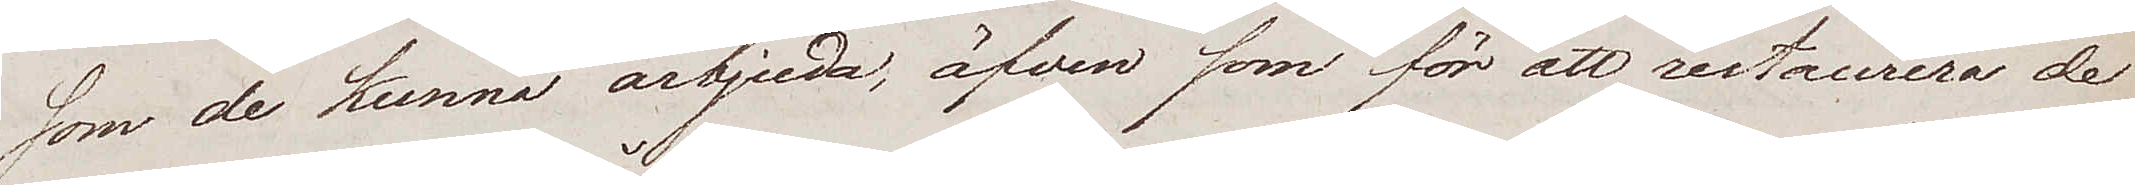som de kunna ärbjuda, äfven som för att restaurera de
